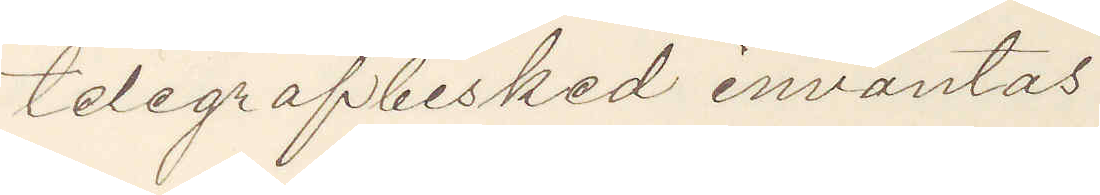telegrafbesked inväntas
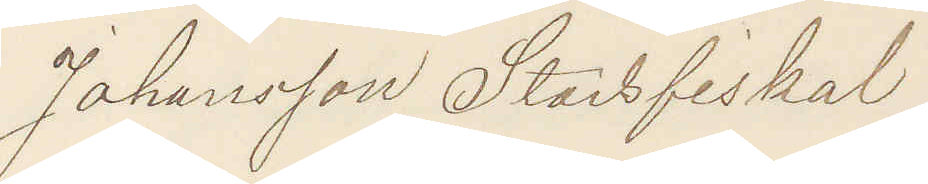Johansson Stadsfiskal
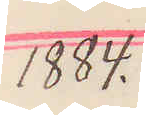1884.
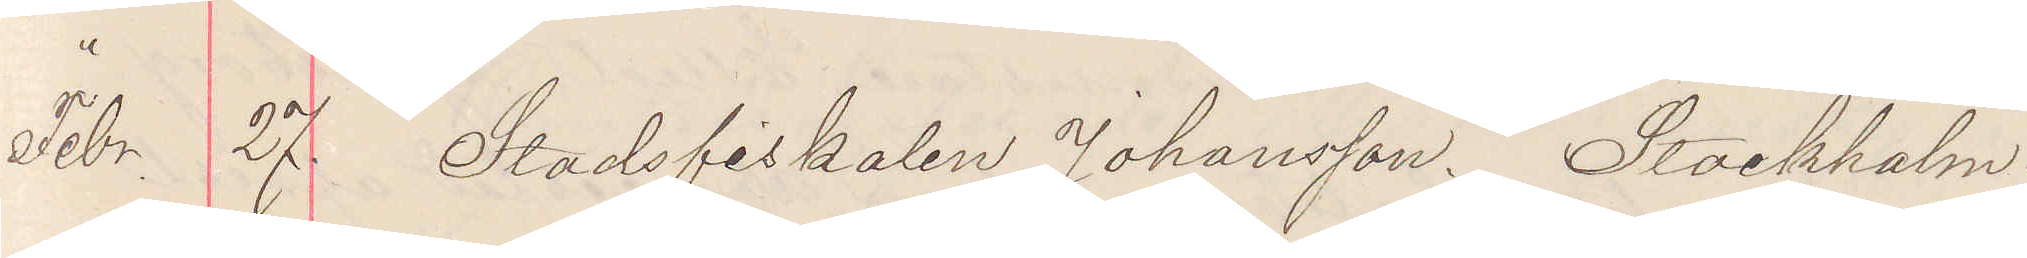Febr. 27. Stadsfiskalen Johansson. Stockholm.
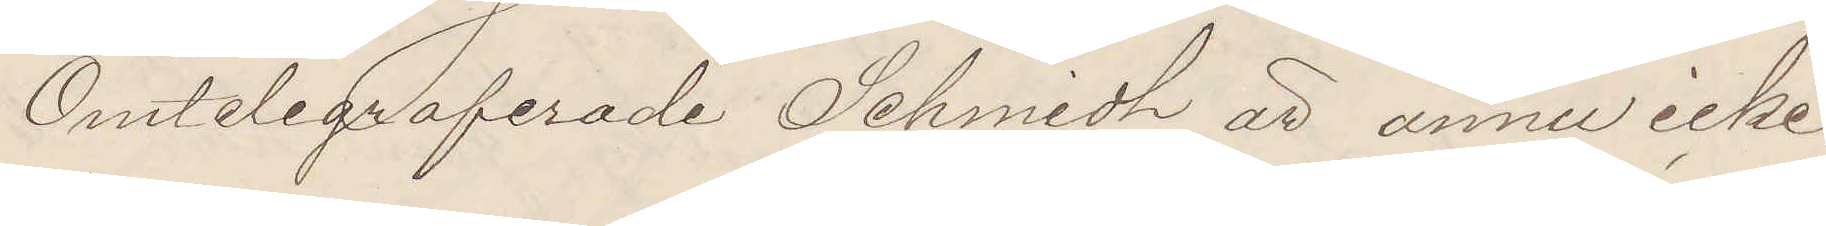Omtelegraferade Schmidt är ännu icke
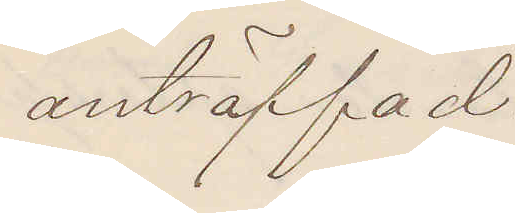anträffad.
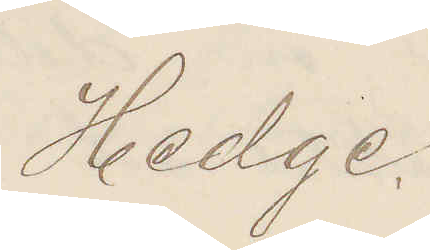Hedge.
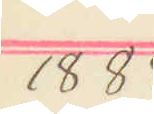1884
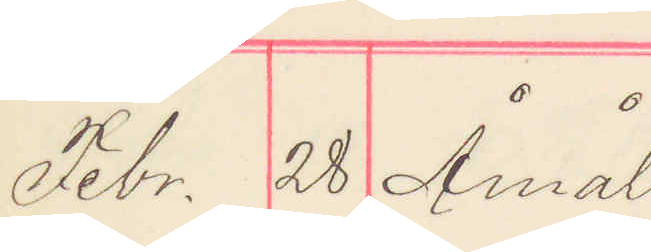Febr. 28 Åmål
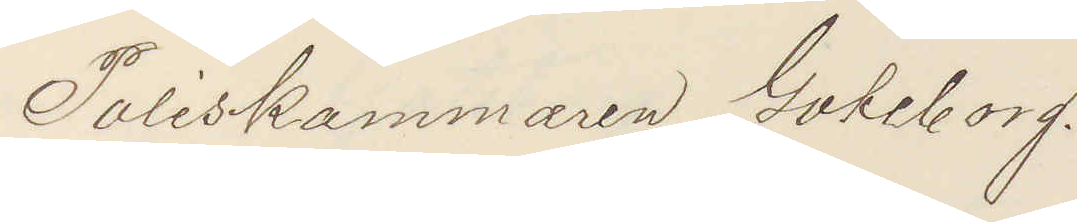Poliskammaren Göteborg.
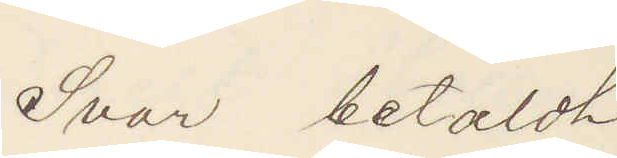Svar betaldt
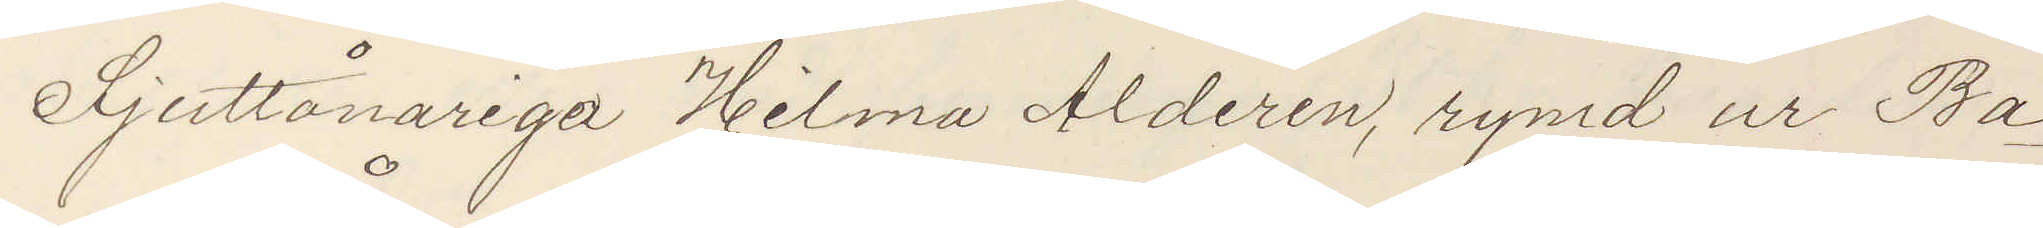Sjuttonåriga Hilma Alderin, rymd ur Ba¬
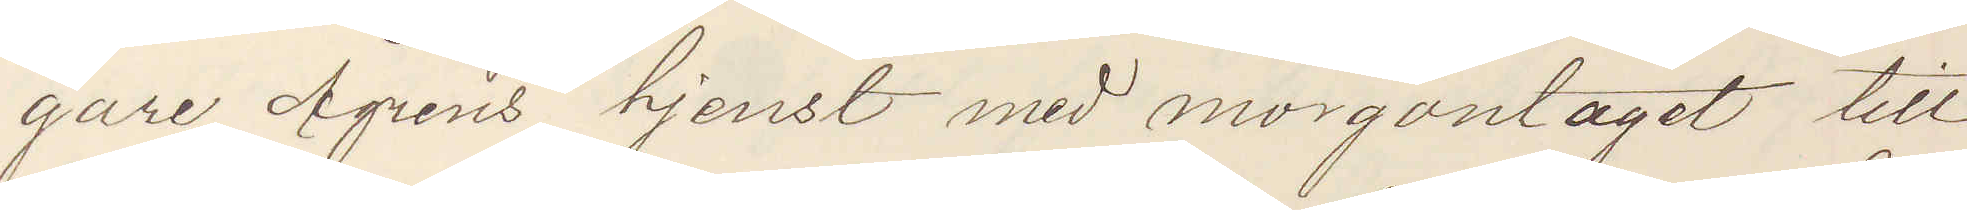gare Ågrens tjenst med morgontåget till
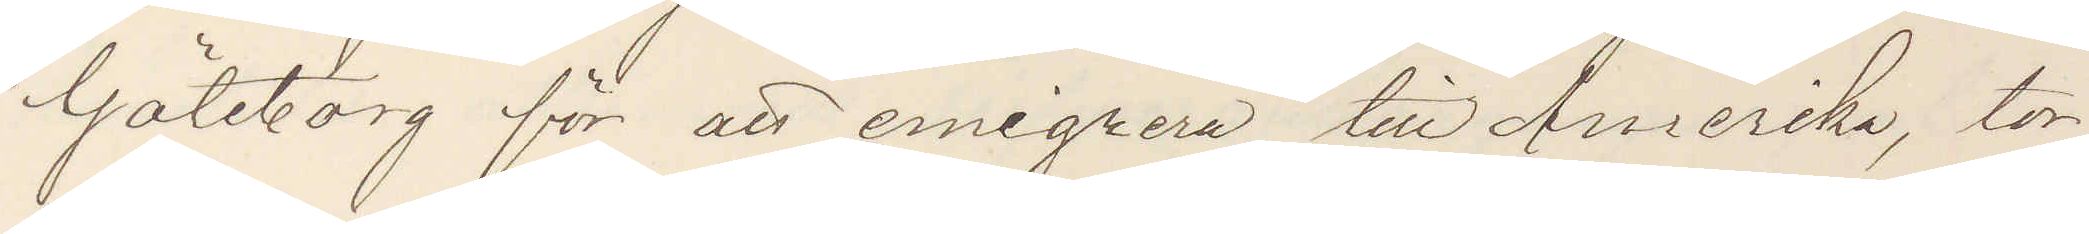Göteborg för att emigrera till Amerika, tor¬
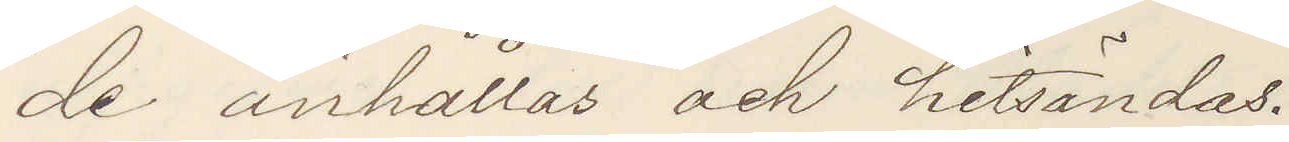de anhållas och hitsändas.
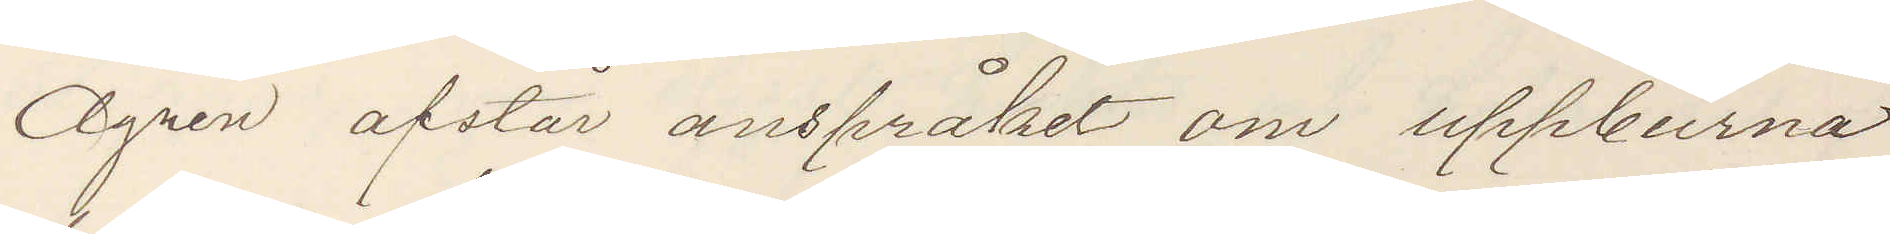Ågren afstår anspråket om uppburna
